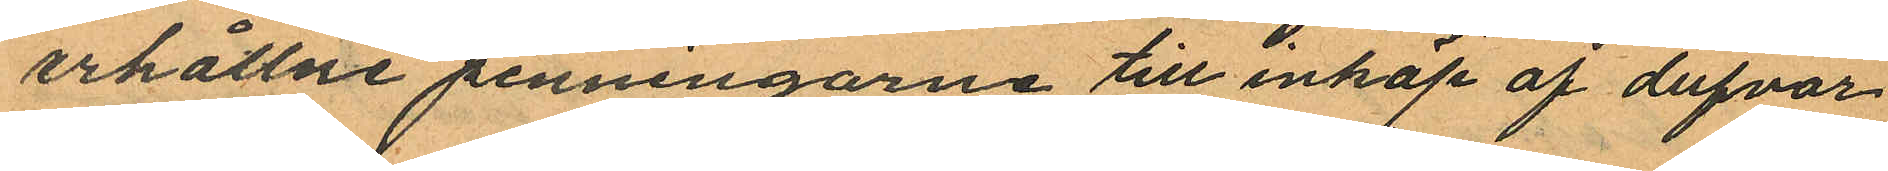erhållne penningarne till inköp af dufvor
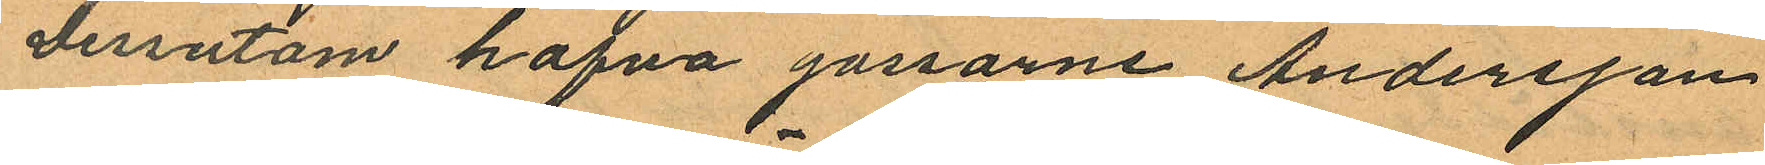Dessutom hafva gossarne Andersson
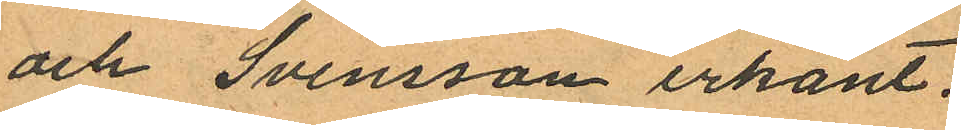och Svensson erkänt.
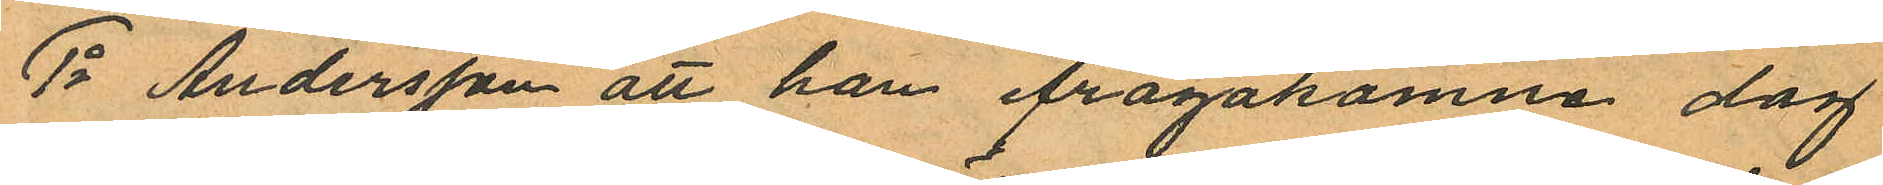1o Andersson att han ifrågakomne dag
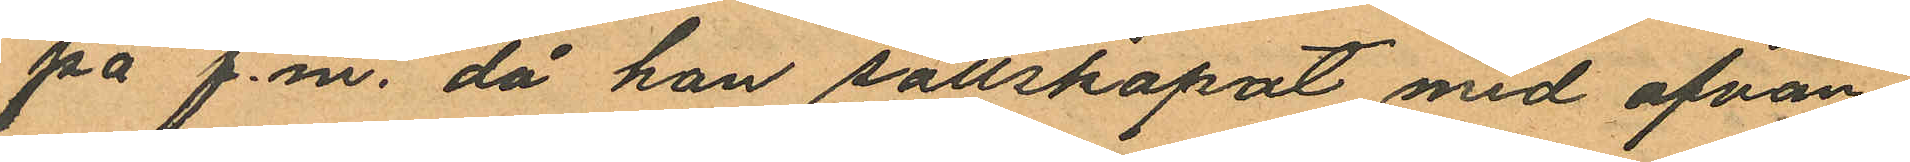på f.m., då han sällskapat med ofvan¬
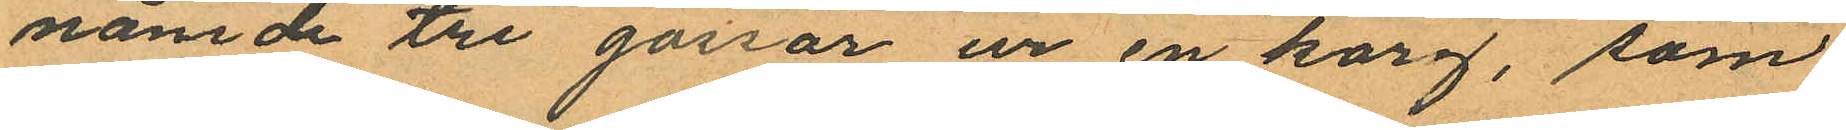nämde tre gossar ur en korg, som
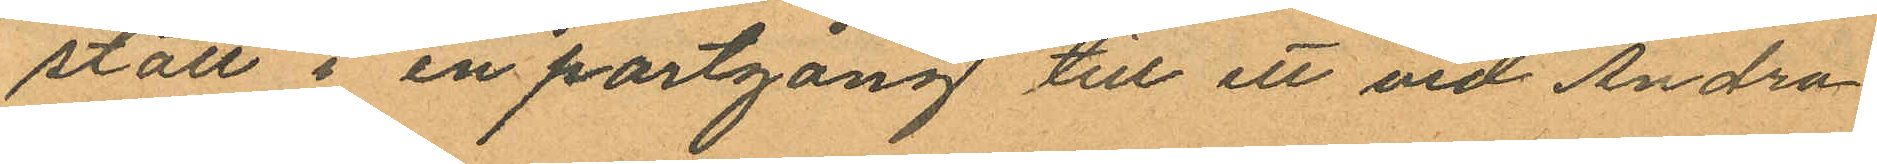stått i en portgång till ett vid Andra
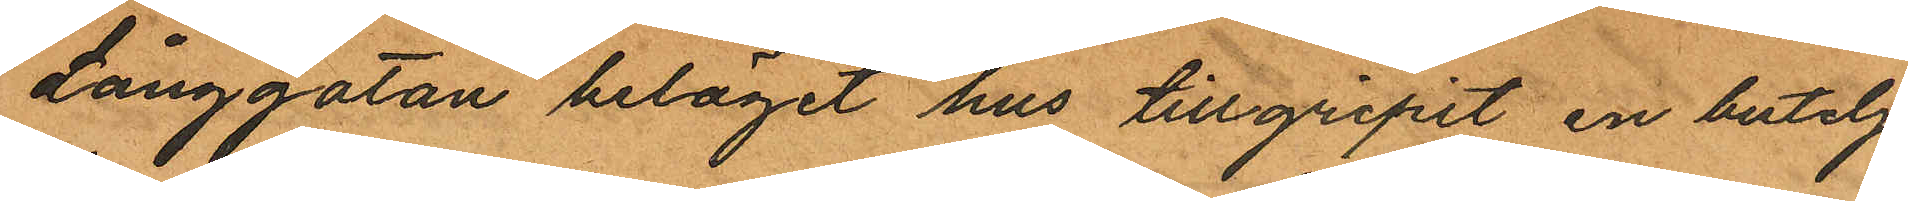Långgatan beläget hus tillgripit en butelj
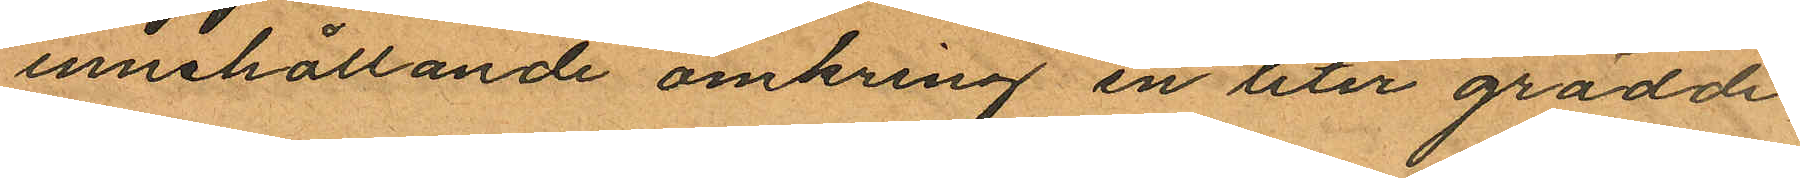innehållande omkring en liter grädde,
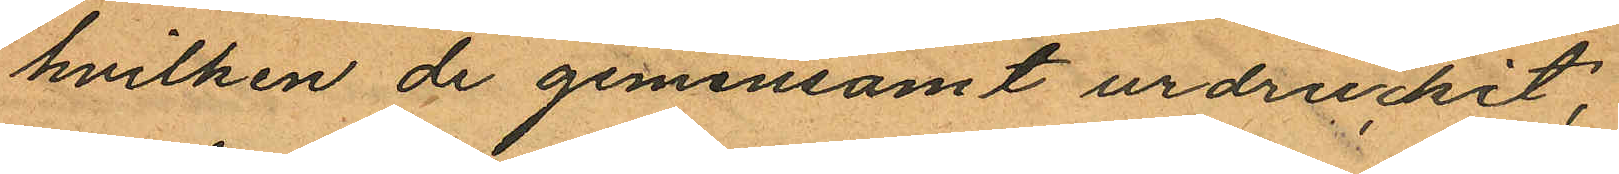hvilken de gemensamt urdrukit;
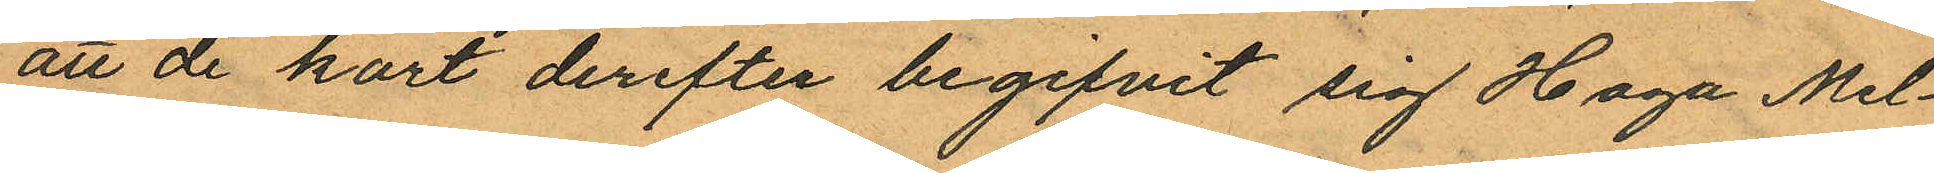att de kort derefter begifvit sig Haga Mel¬
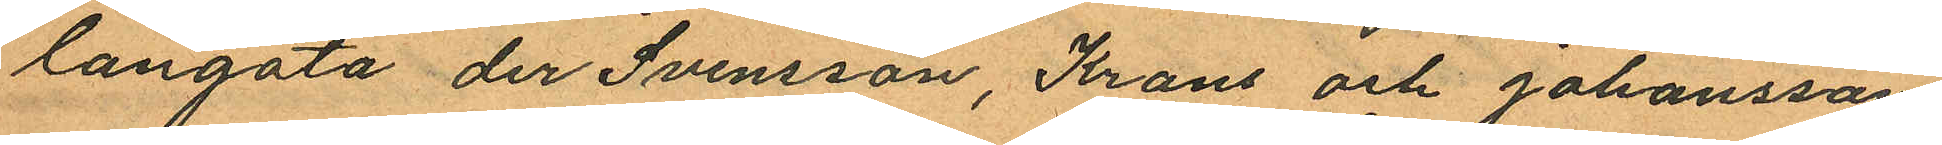langata der Svensson, Krans och Johansson
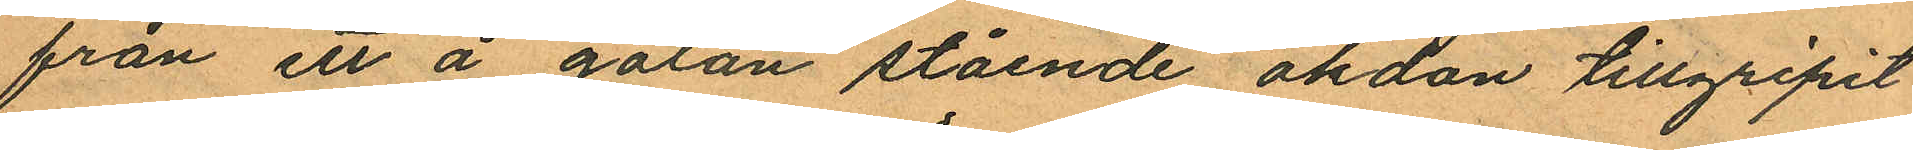från ett å gatan stående åkdon tillgripit
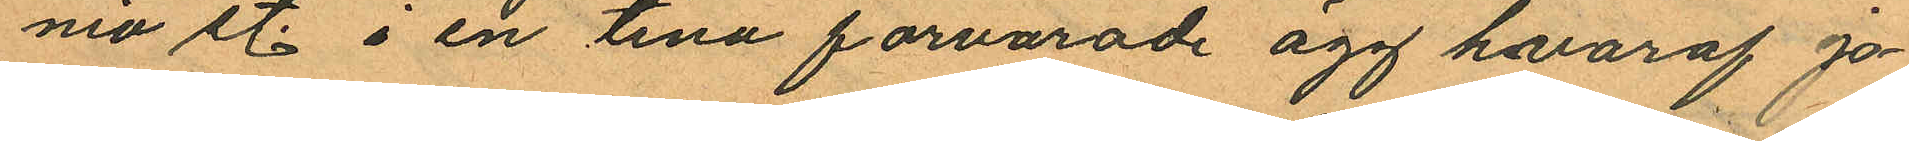nio st. i en tina förvarade ägg hvaraf Jo¬
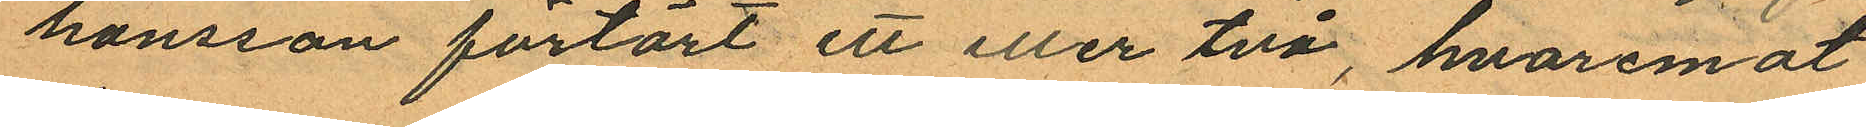hansson förtärt ett eller två, hvaremot
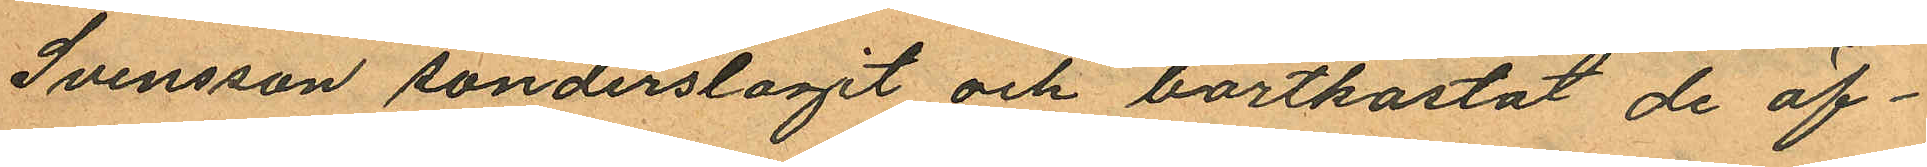Svensson sönderslagit och bortkastat de öf¬
